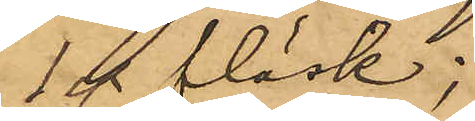1℔ fläsk;
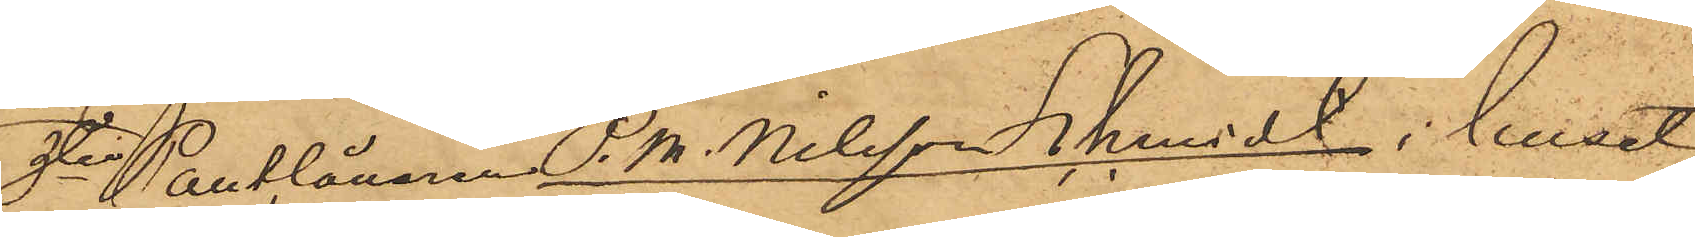3o Pantlånaren  P.M. Nilsson Schmidt  i huset
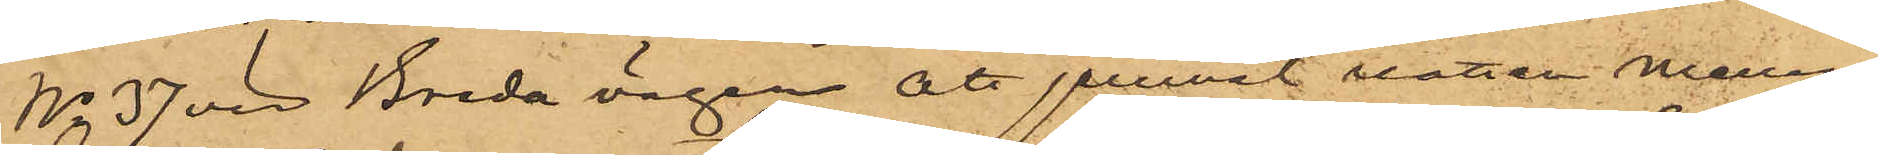No 37 vid Breda vägen att jemväl natten mellan
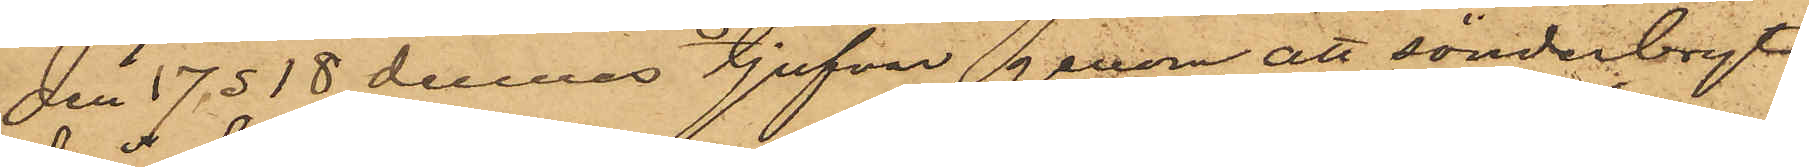den 17 ø 18 dennes tjufvar genom att sönderbryta
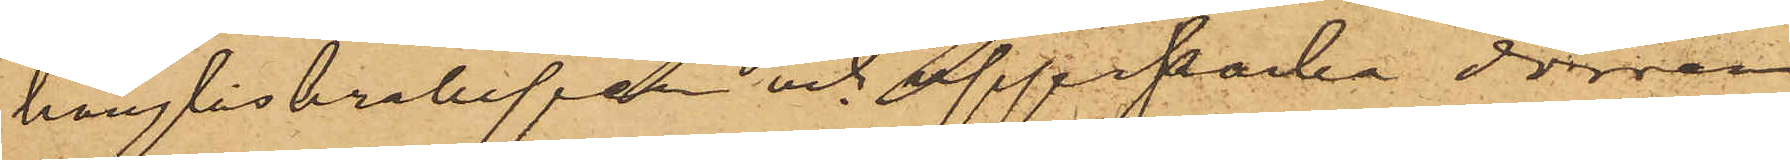hänglåskrampan och uppsparka dörren
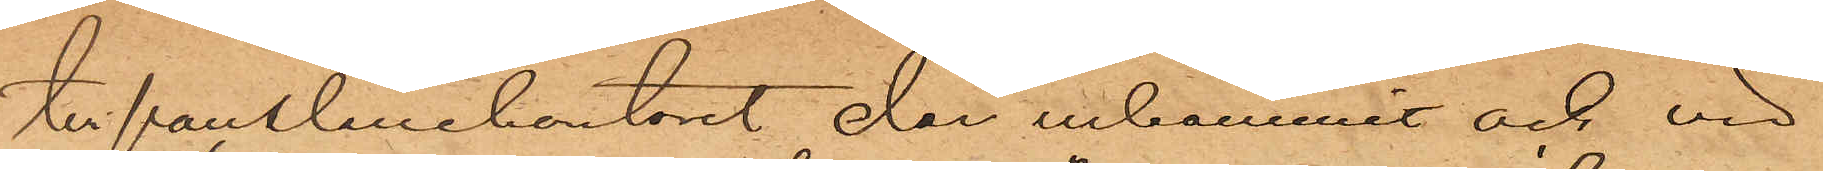till pantlånekontoret der inkommit och vid
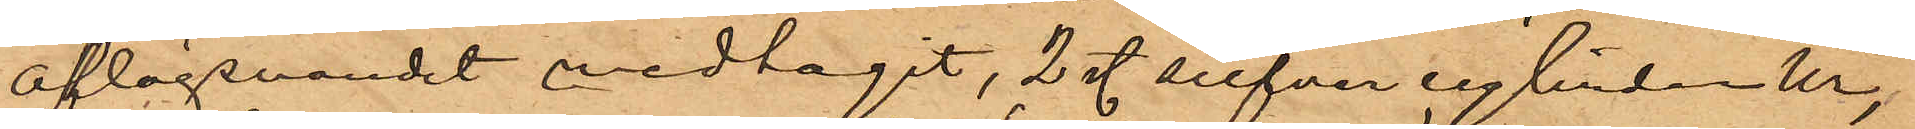aflägsnandet medtagit, 2 sty. silfvercylinderur,
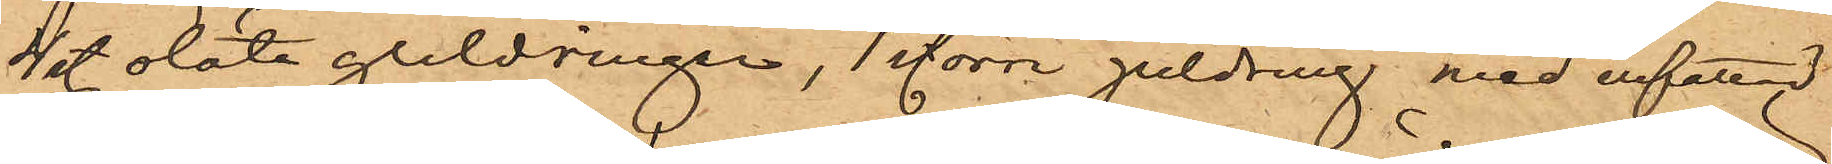4 sty. släta guldringar, 1 större guldring med infattad
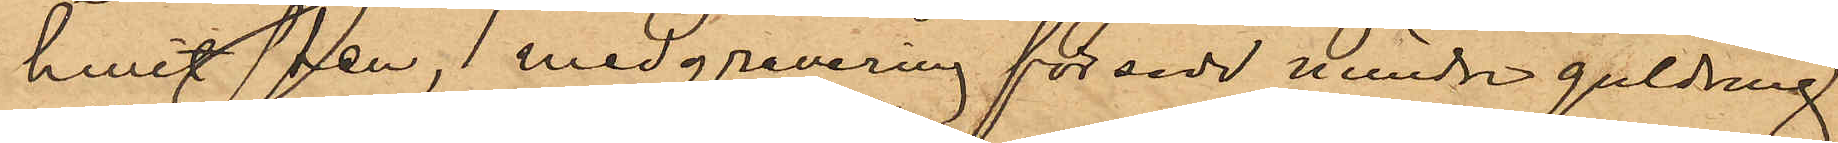hwit sten, 1 med gravering försedd mindre guldring,
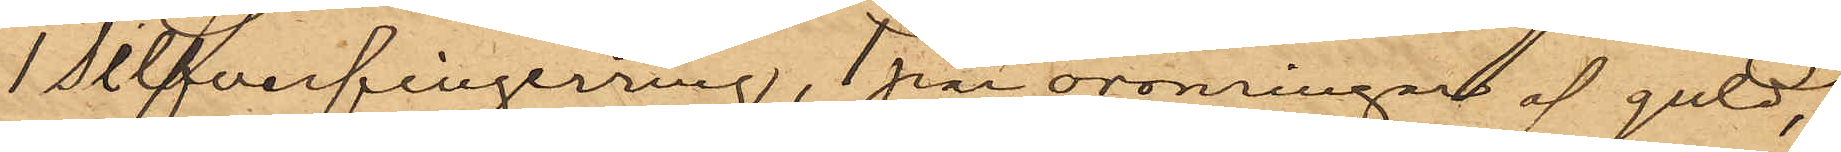1 silfverfingerring, 1 par öronringar af guld,
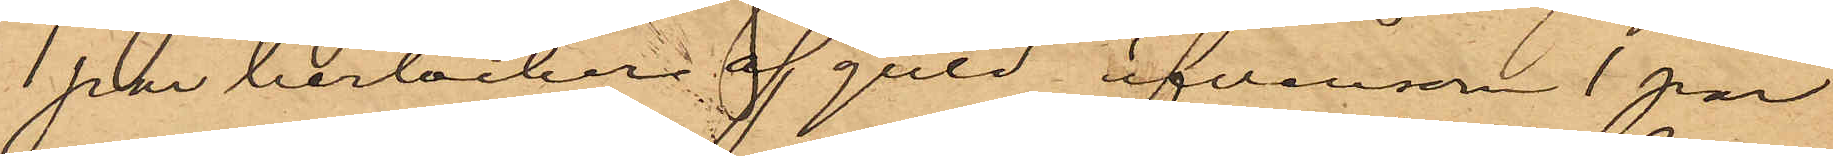1 par berlocker af guld äfvensom 1 par
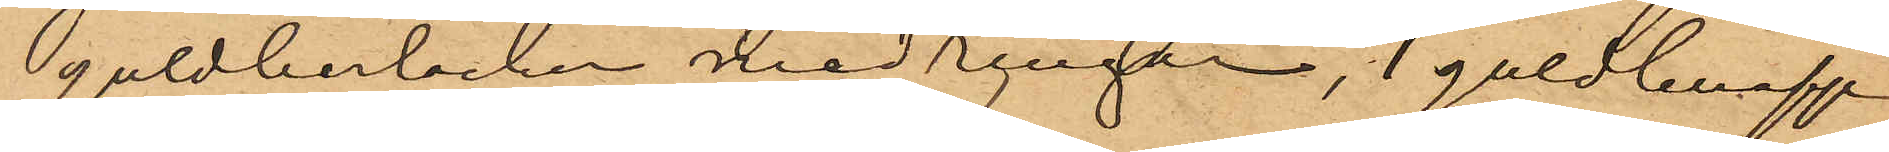guldberlocker med ringar, 1 guldknapp
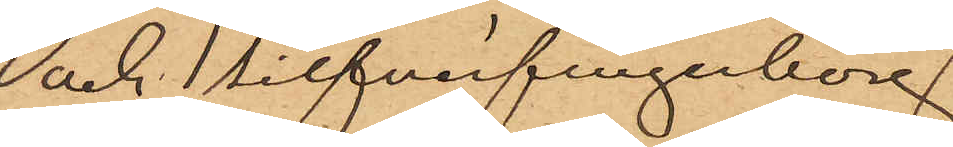och 1 silfverfingerborg.
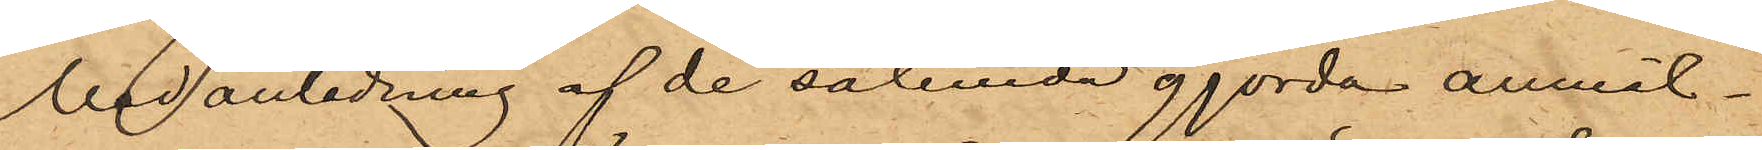Med anledning af de sålunda gjorda anmäl¬
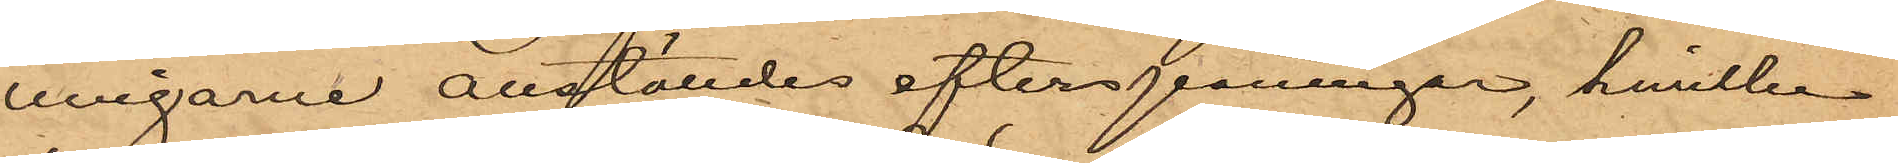ningarne anställdes efterspaningar, hvilka
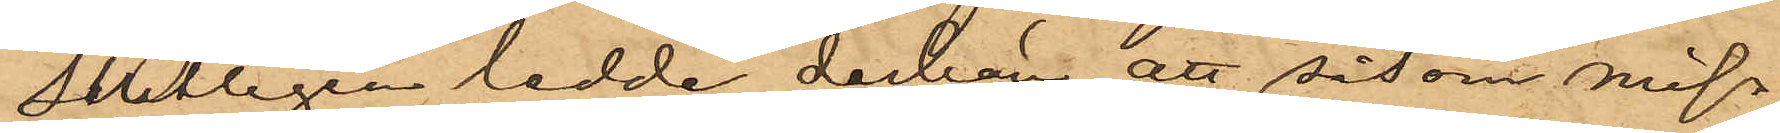slutligen ledde derhän, att såsom miss¬
